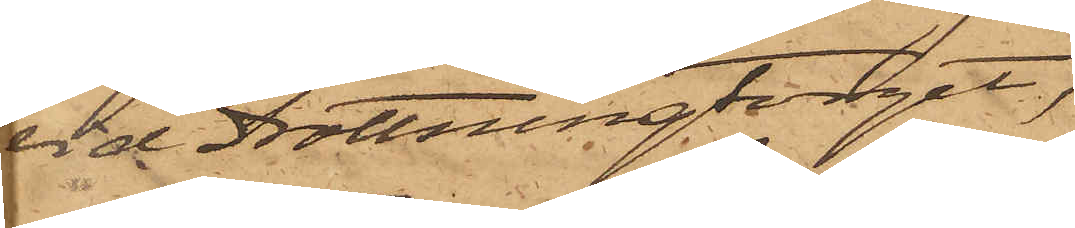vid Drottningtorget,
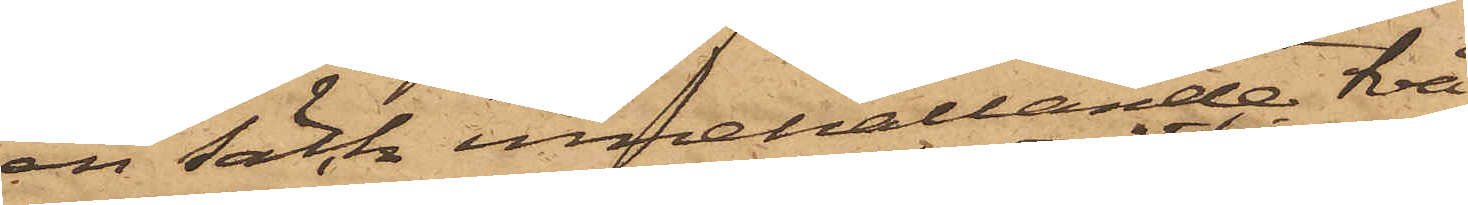en säck innehållande två
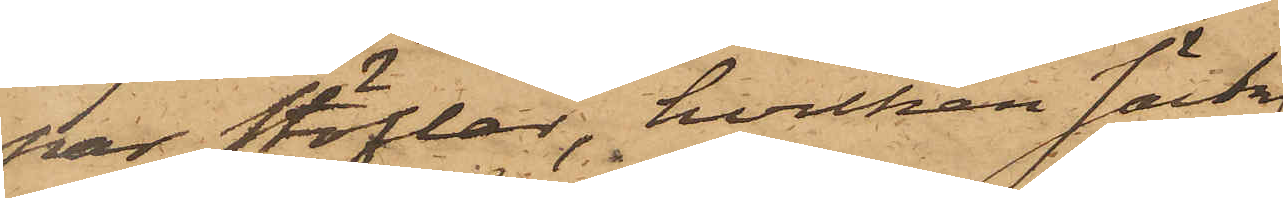par stöflar, hvilken säck
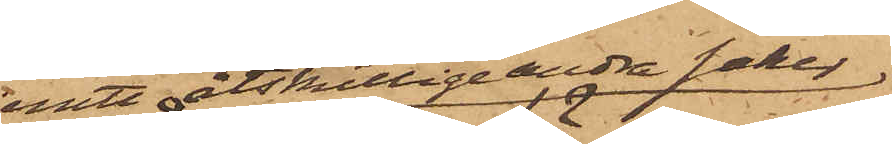jemte åtskillige andra saker
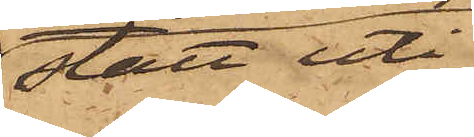stått uti
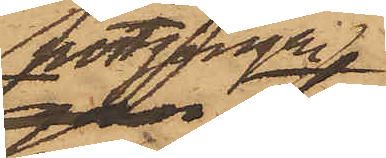portgången
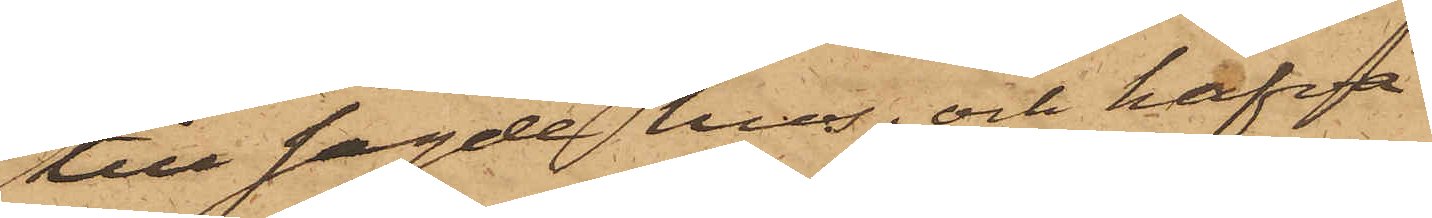till sagde hus; och hafva
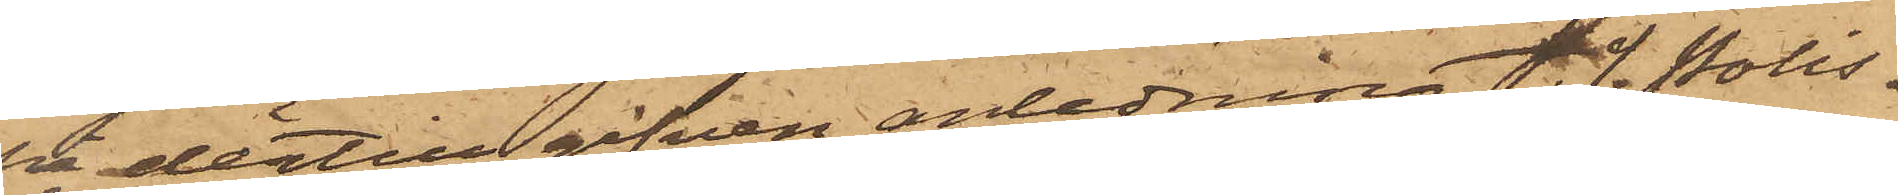på dertill gifven anledning t. f. Polis¬
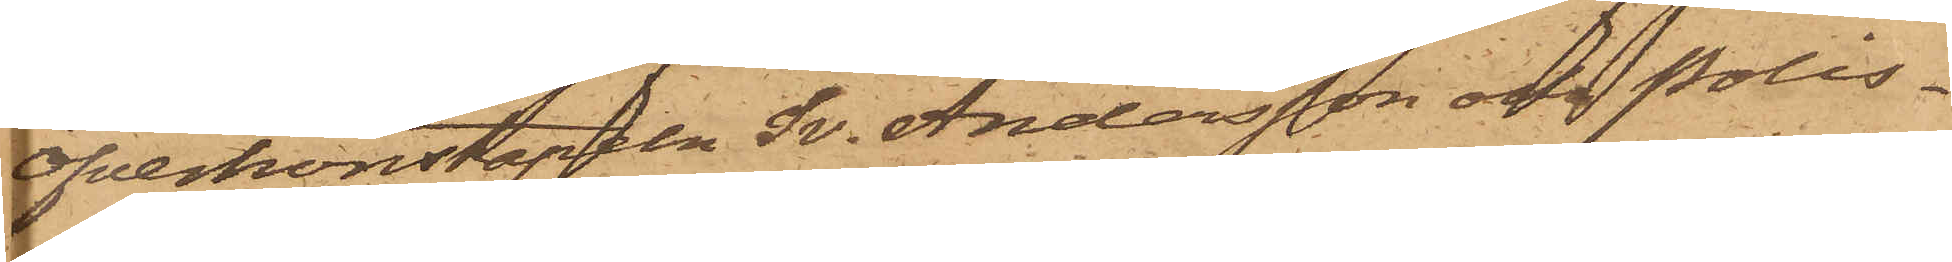Öfverkonstapeln Sv. Andersson och Polis¬
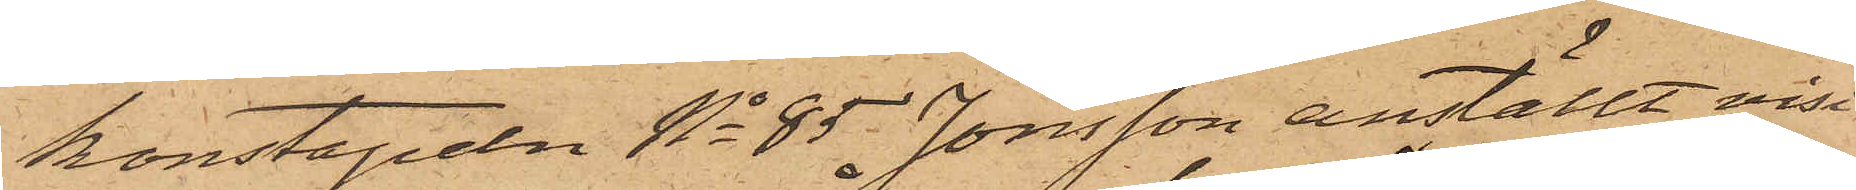konstapeln No 85 Jonsson anställt visi¬
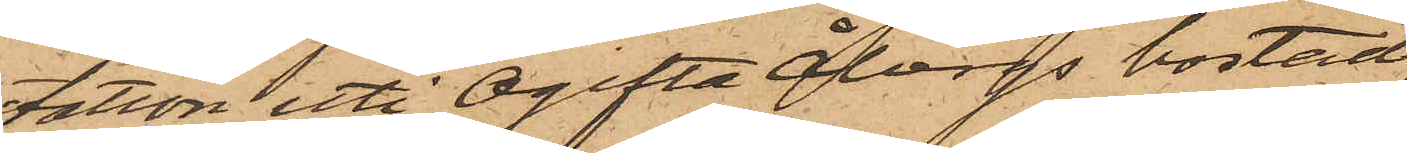tation uti Ogifta Åbergs bostad
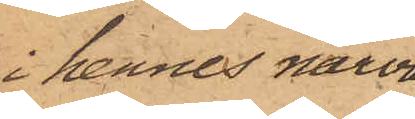i hennes närva¬
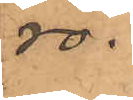ro,
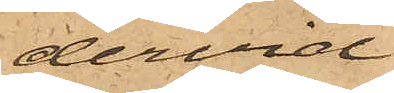dervid
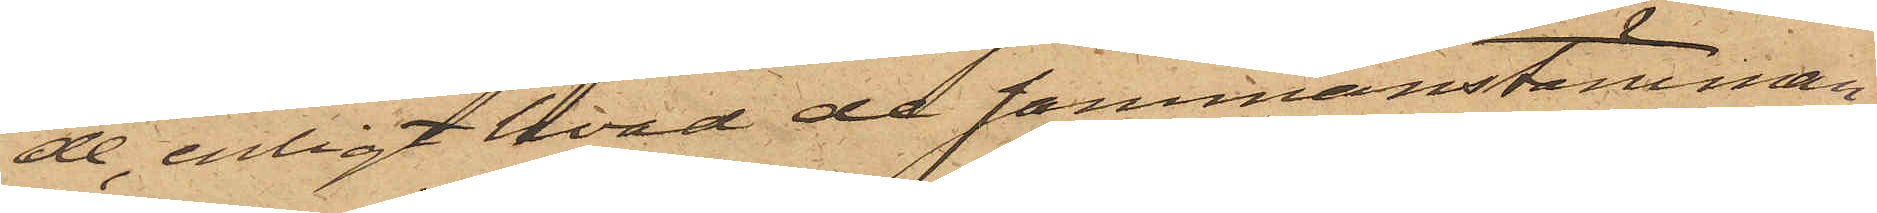de, enligt hvad de sammanstämman¬
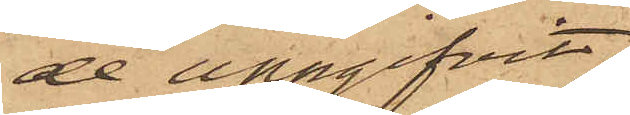de uppgifvit,
